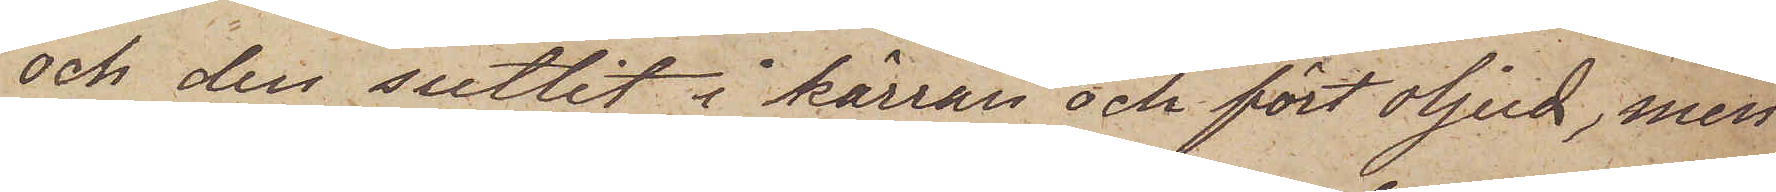och den suttit i kärran och fört oljud, men
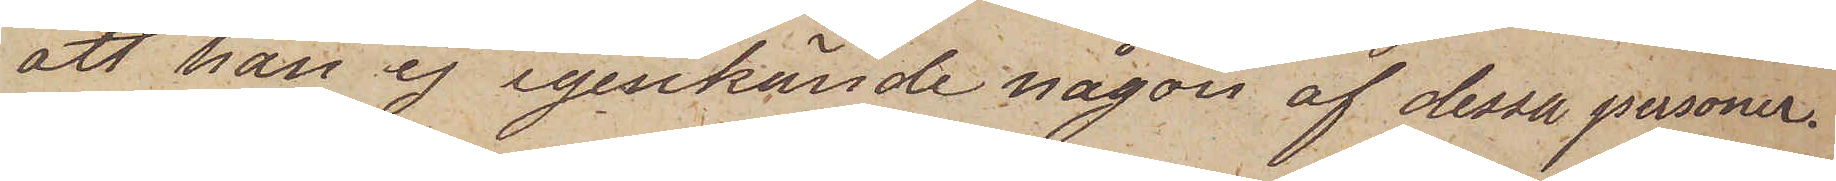att han ej igenkände någon af dessa personer.
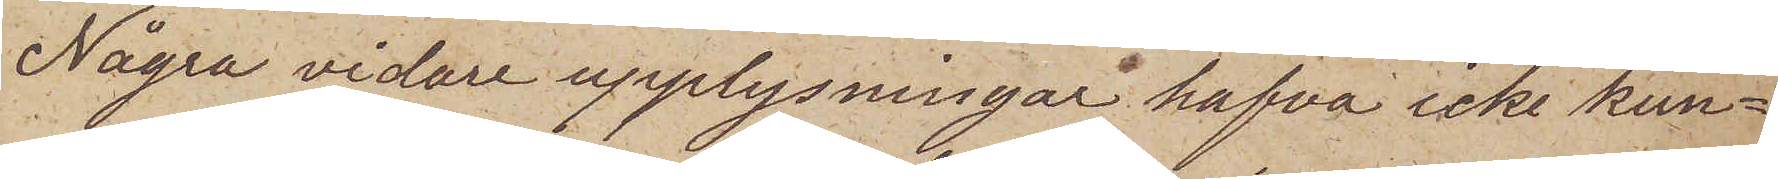Några vidare upplysningar hafva icke kun¬
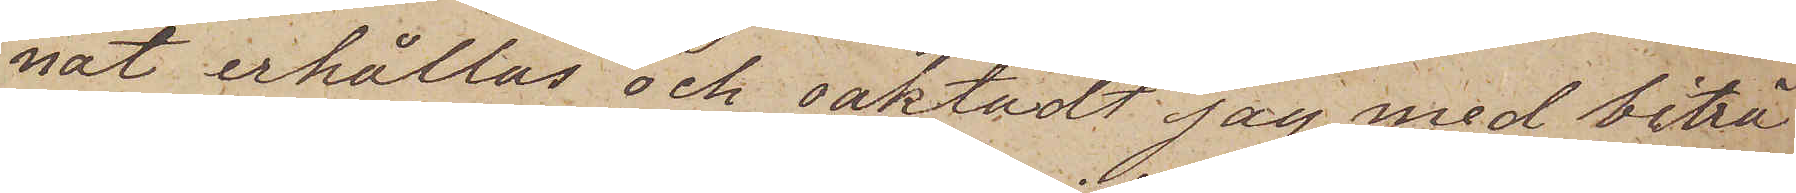nat erhållas och oaktadt jag med biträ¬
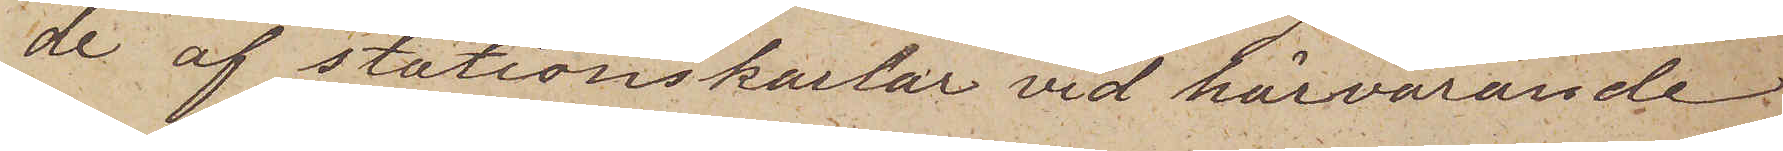de af stationskarlar vid härvarande
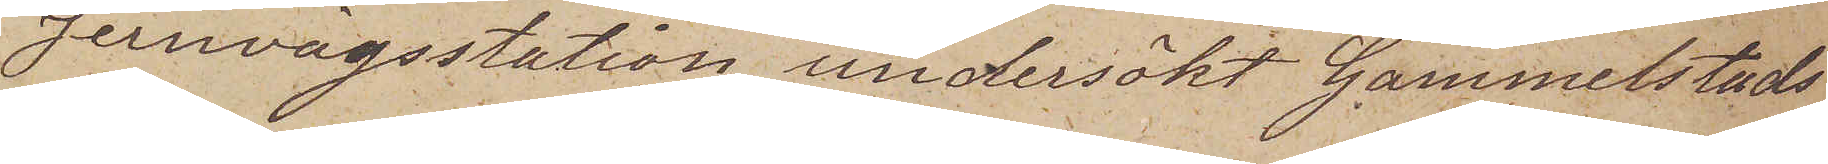jernvägsstation undersökt Gammelstads
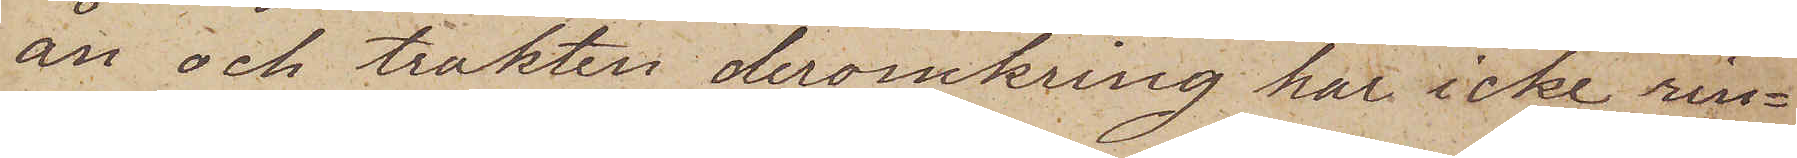ån och trakten deromkring har icke rin¬
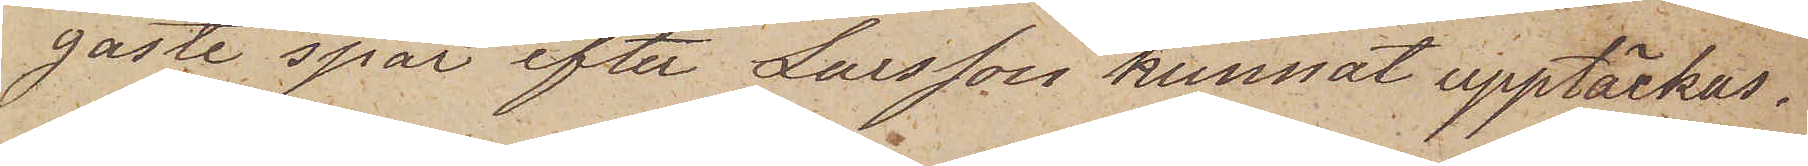gaste spår efter Larsson kunnat upptäckas.
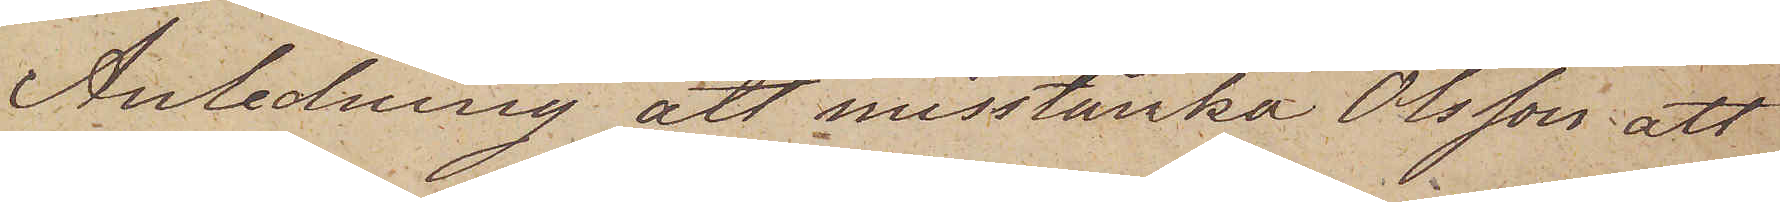Anledning att misstänka Olsson att
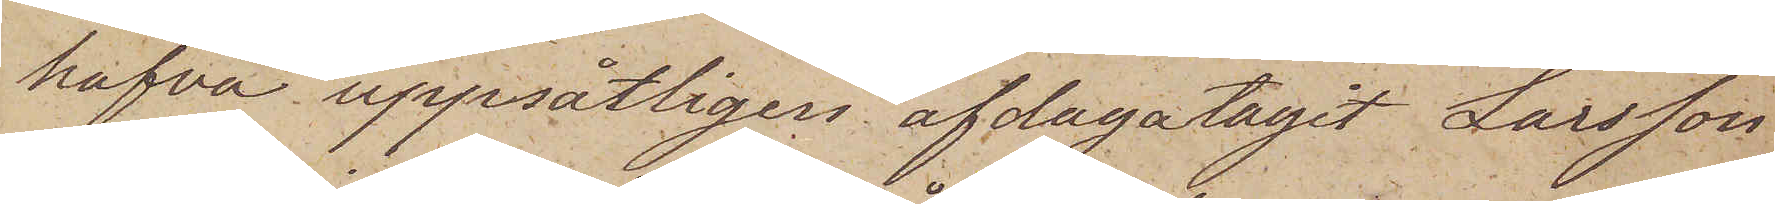hafva uppsätligen afdagatagit Larsson
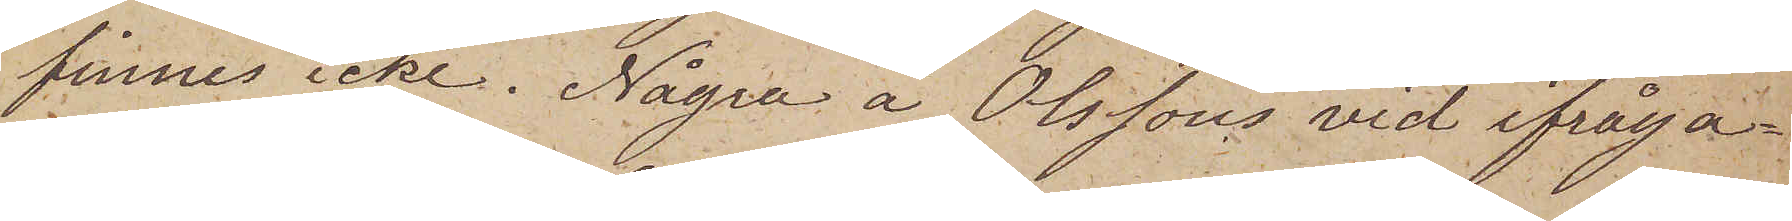finnes icke. Några å Olssons vid ifråga¬
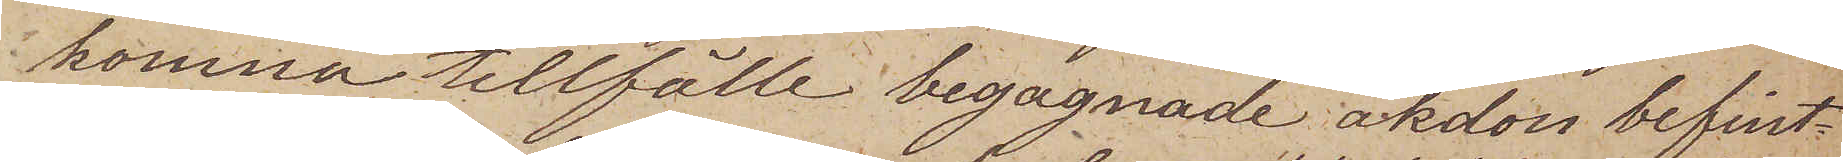komna tillfälle begagnade åkdon befint¬
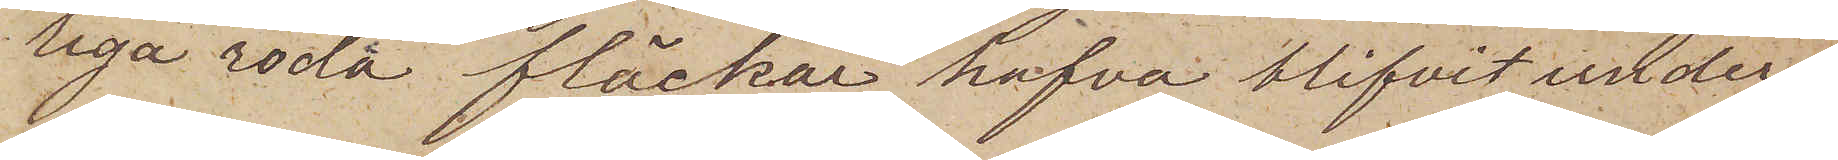liga röda fläckar hafva blifvit under¬
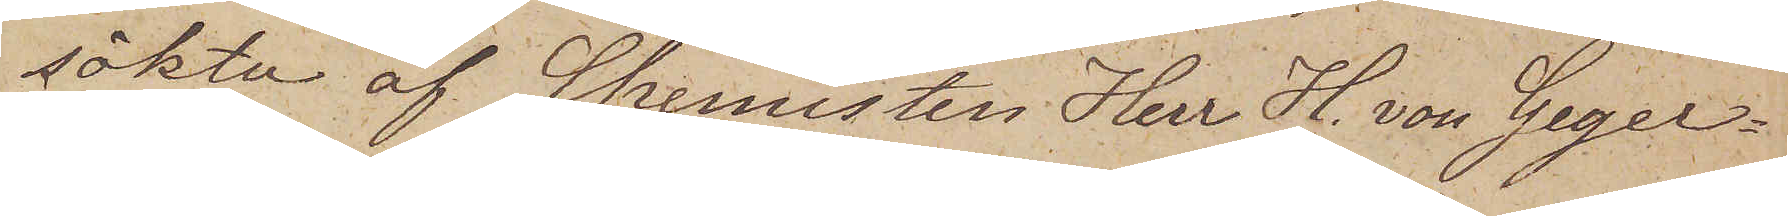sökta af Chemisten Herr H. von Seger¬
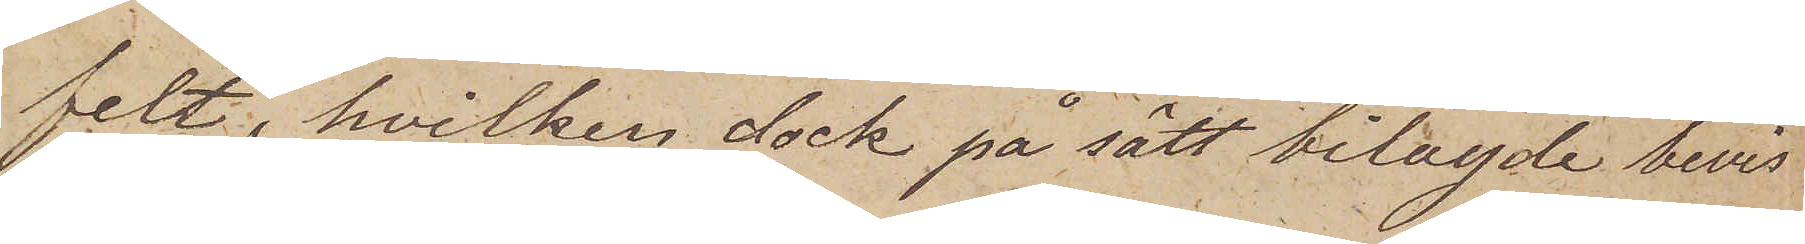felt, hvilken dock på sätt bilagde bevis
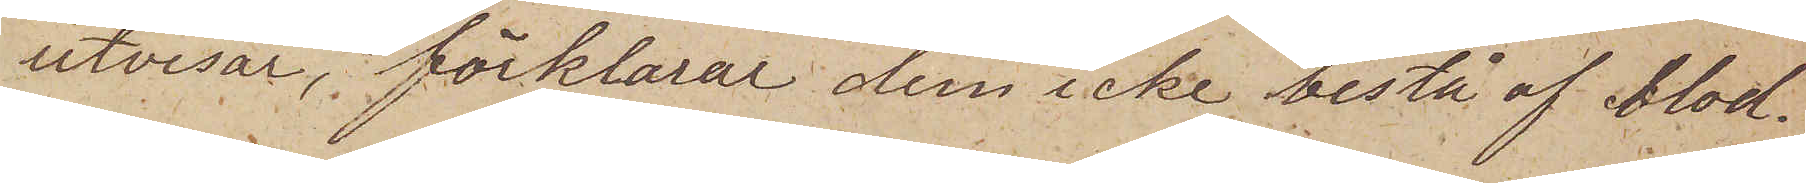utvisar, förklarat dem icke bestå af blod.
